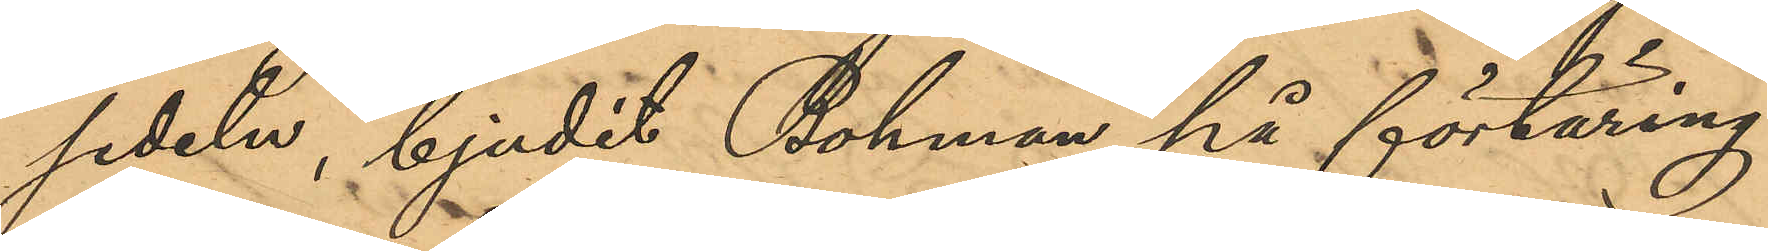sedeln, bjudit Bohman på förtäring
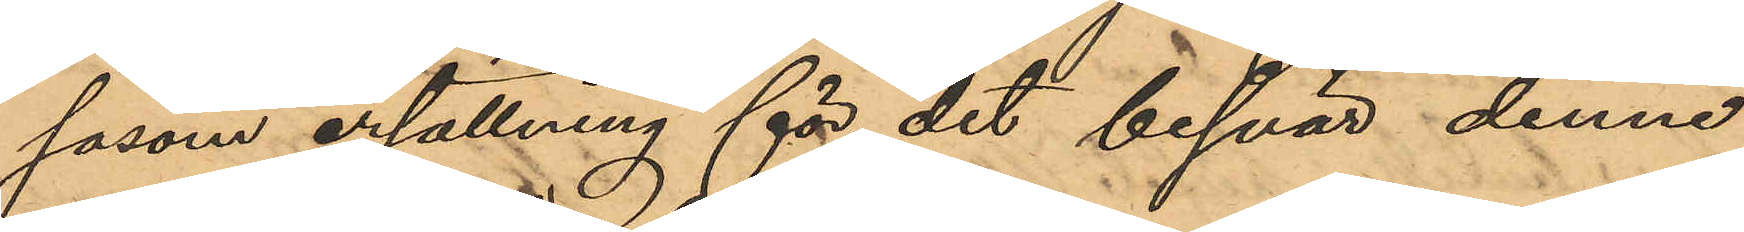såsom ersättning för det besvär denne
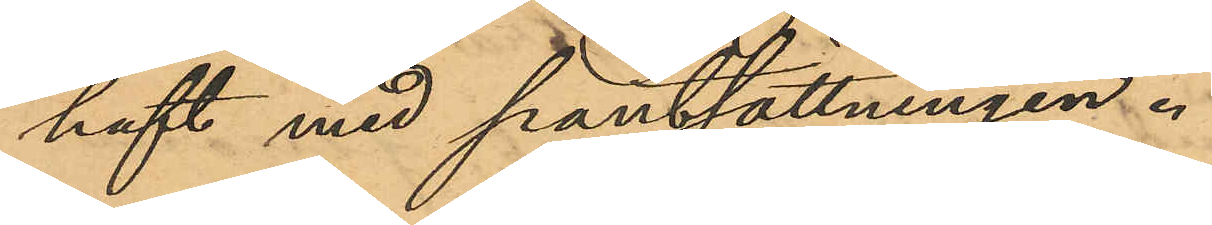haft med pantsättningen.
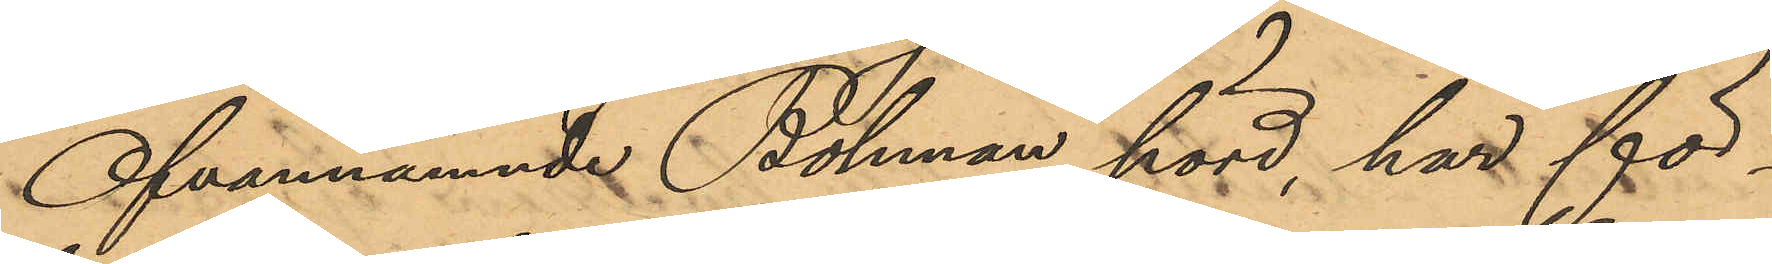Ofvannämnde Bohman hörd, har för¬
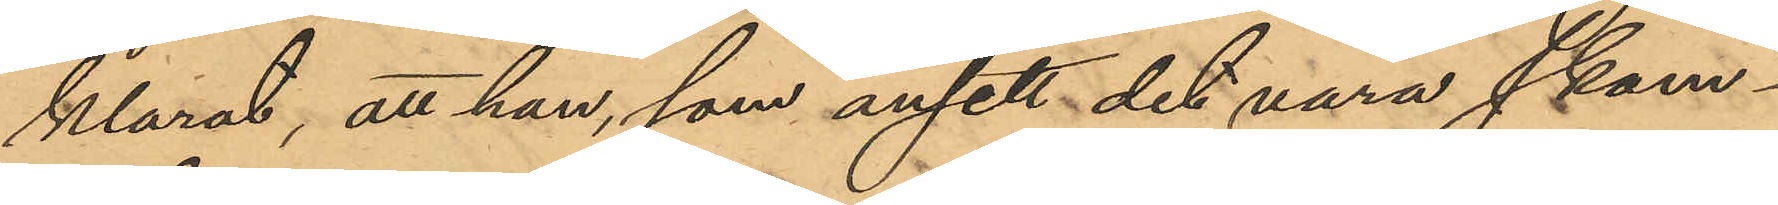klarat, att han, som ansett det vara skam¬
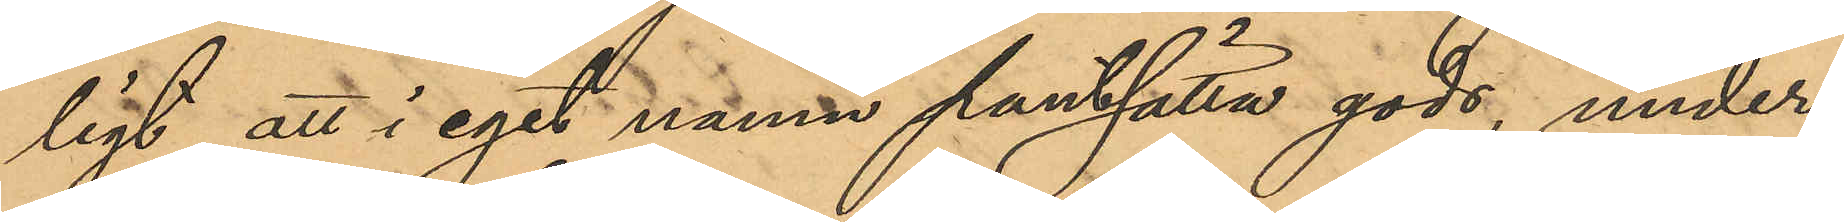ligt att i eget namn pantsätta gods, under
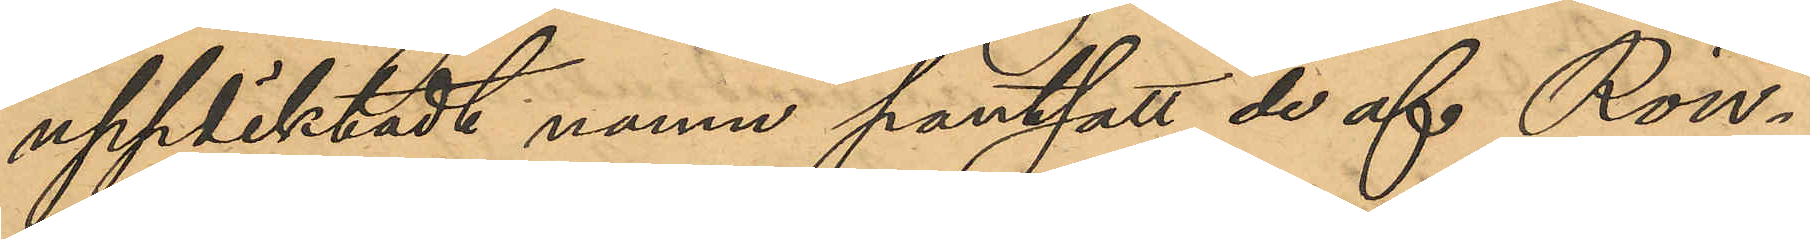uppdiktadt namn pantsatt de af Rön¬
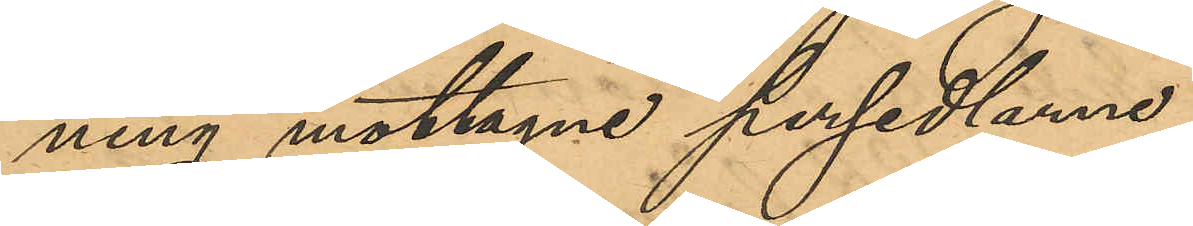ning mottagne persedlarne.
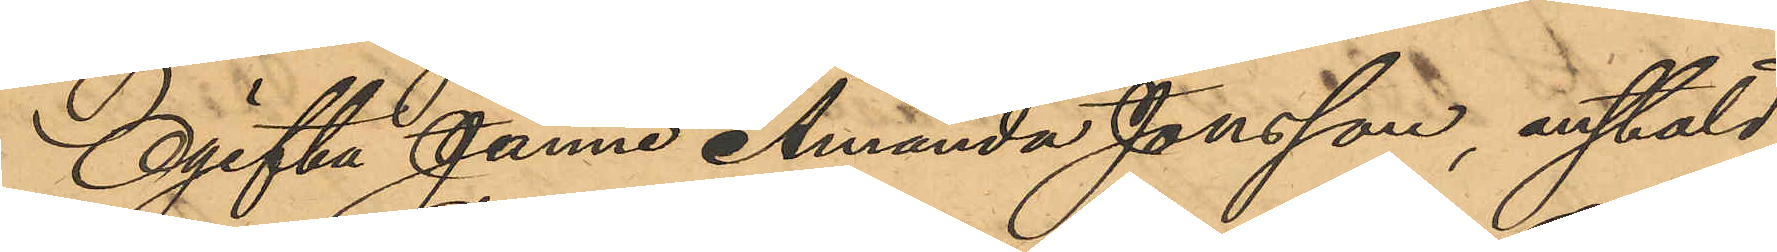Ogifta Janne Amanda Jonsson, anstäld
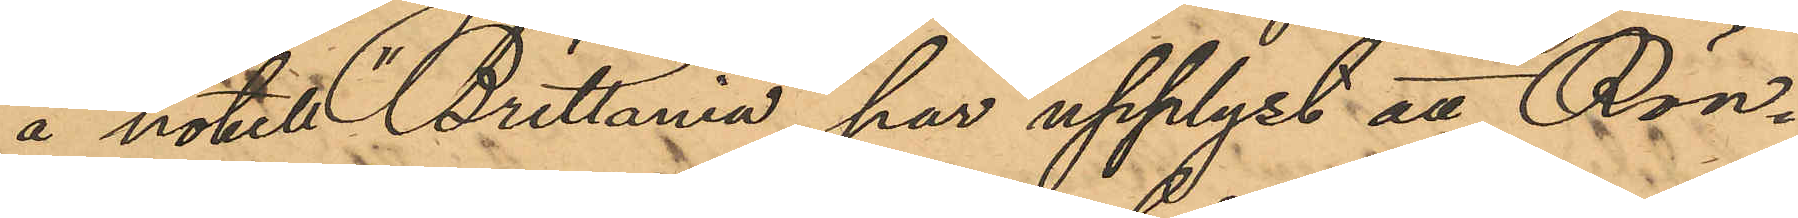å hotel "Brittania" har upplyst att Rön¬
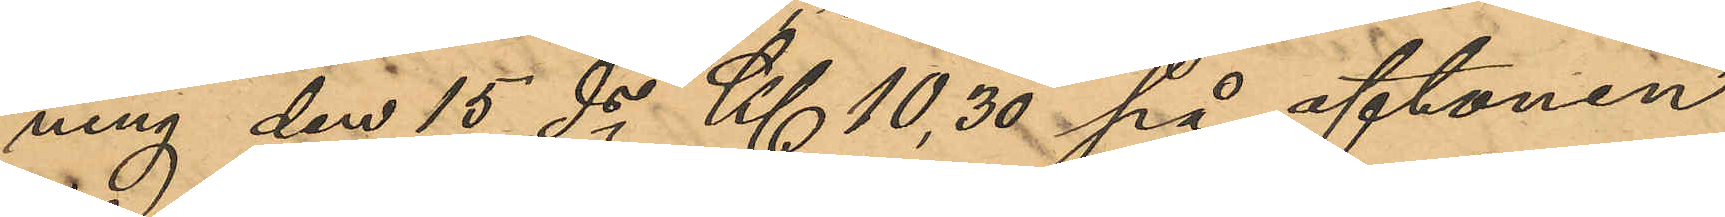ning den 15 ds Kl 10,30 på aftonen
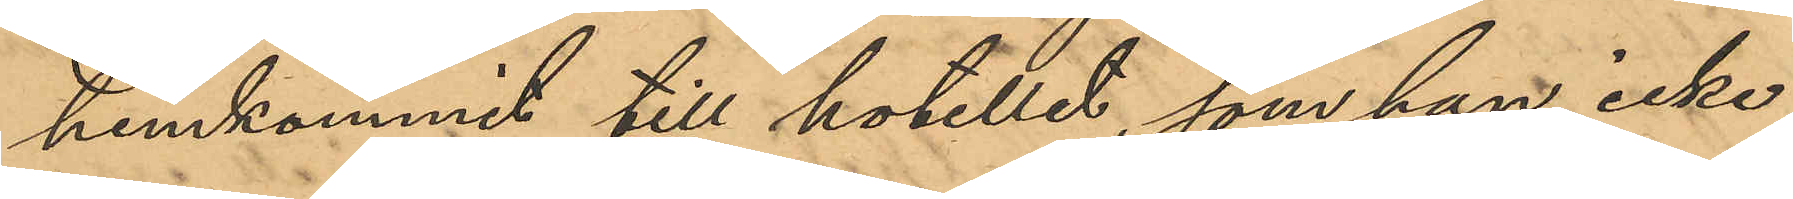hemkommit till hotellet, som han icke
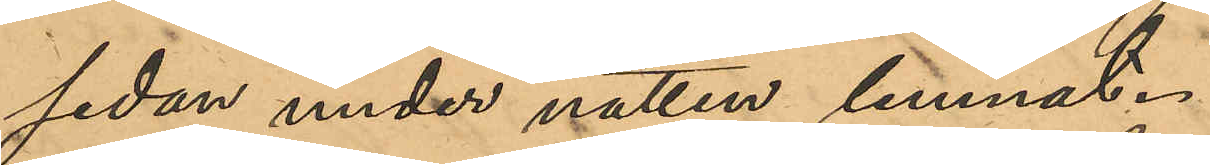sedan under natten lemnat.
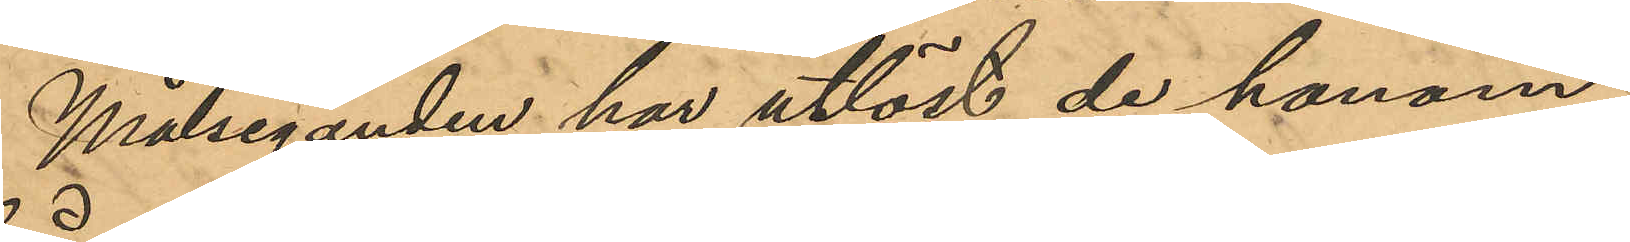Målseganden har utlöst de honom
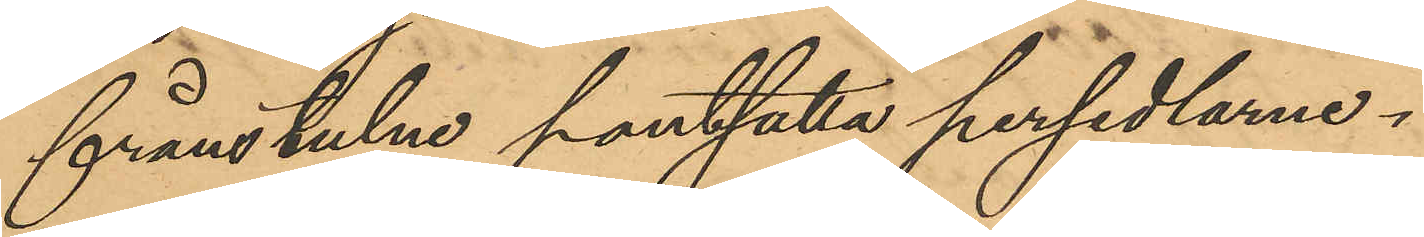frånstulne pantsatta persedlarne.
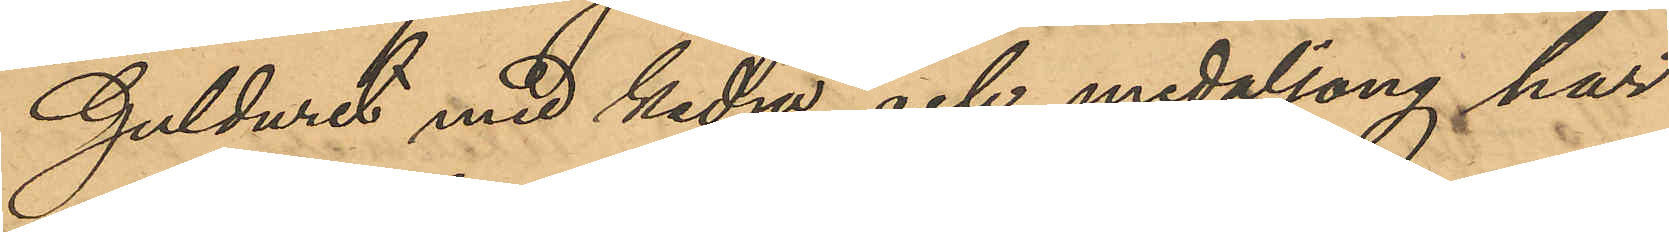Gulduret med kedja och medaljong har
